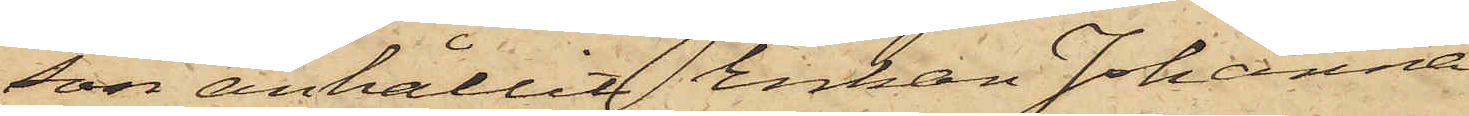son anhållit Enkan Johanna
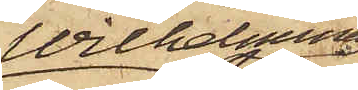Wilhelmina
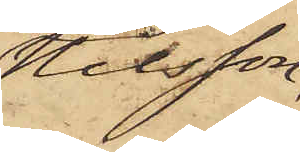Nilsson,
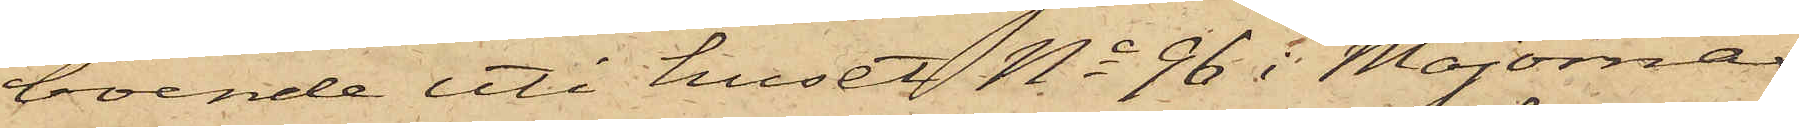boende uti huset No 96 i Majornas
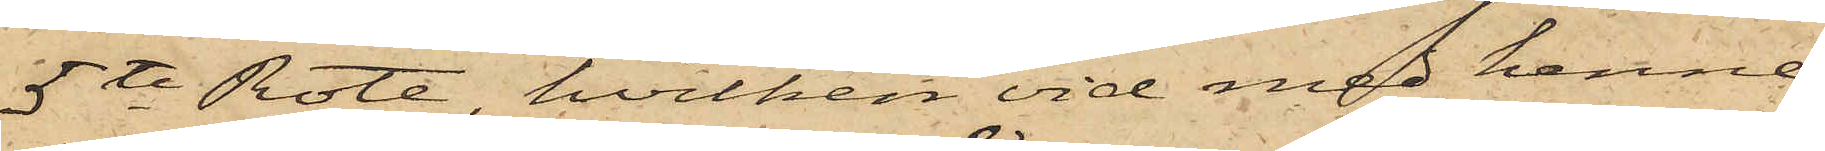5te Rote, hvilken vid med henne
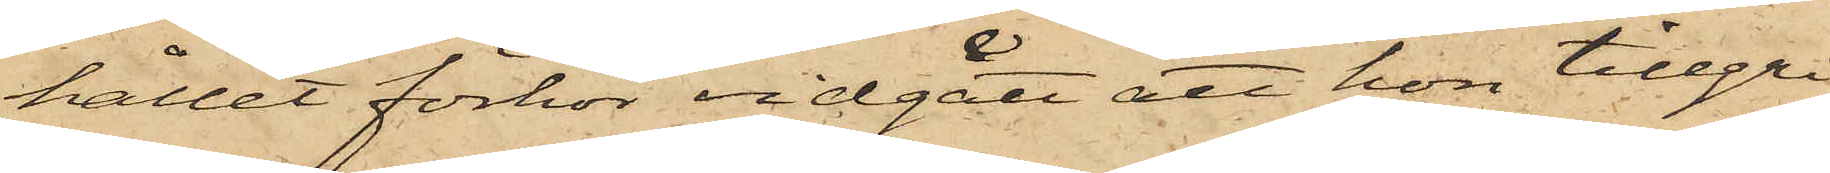hållet förhör vidgått att hon tillgri¬
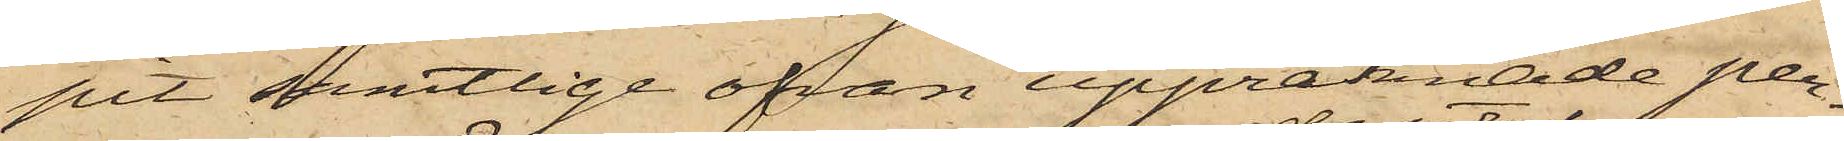pit samtlige ofvan uppräknade per¬
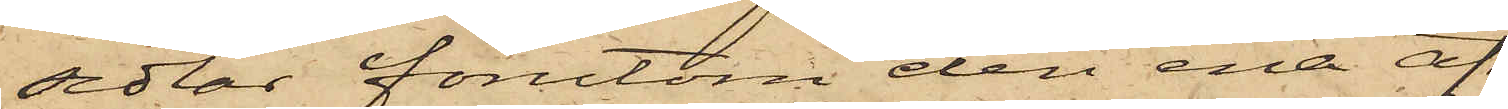sedlar förutom den ena af
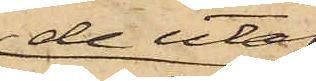de utaf
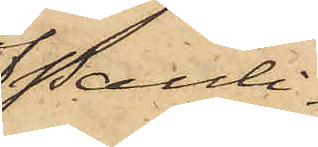Pauli¬
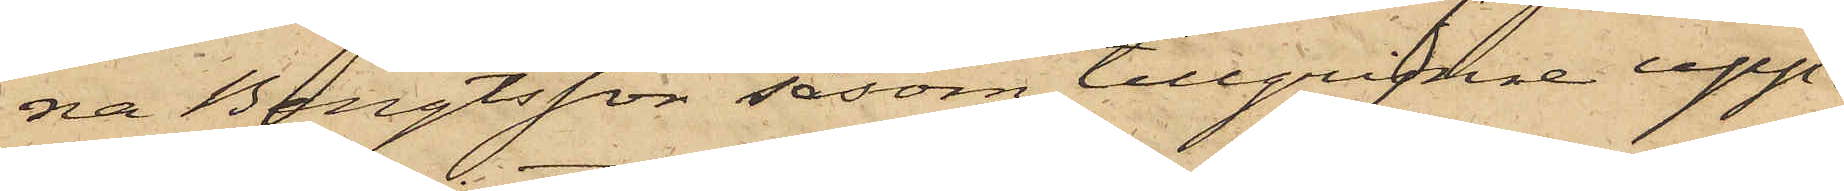na Bengtsson, såsom tillgripne upp¬
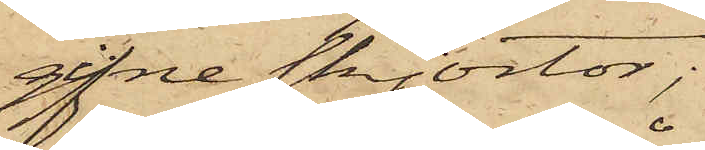gifne skjortor;
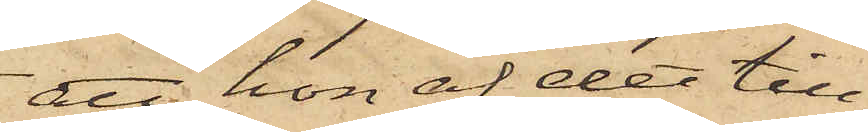att hon af det till¬
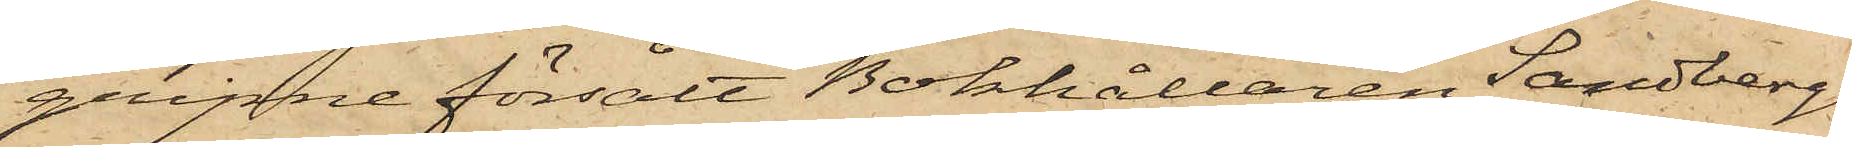gripne försålt Bokhållaren Sandbergs
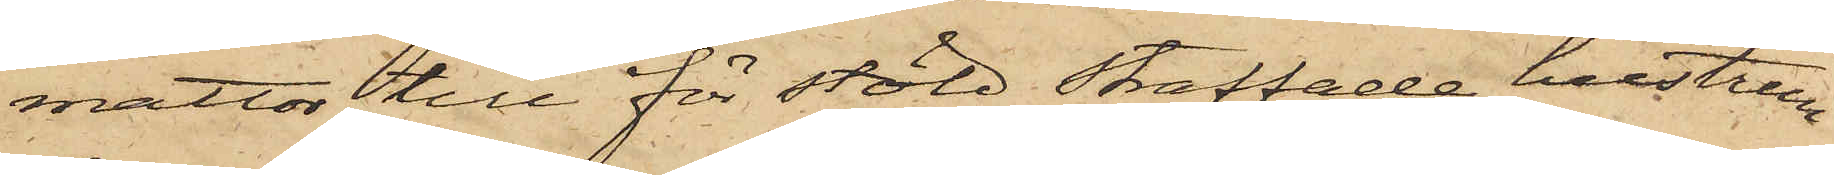mattor till för stöld straffade hustrun
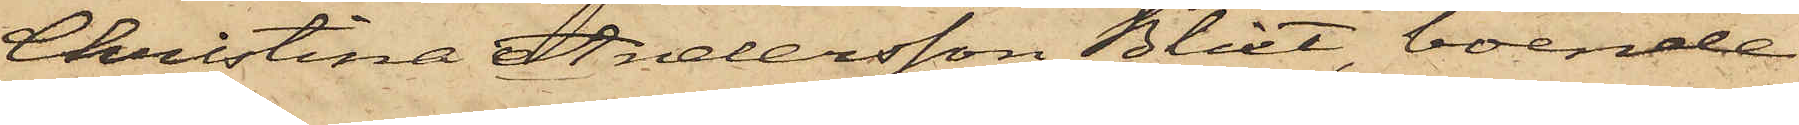Christina Andersson Blixt, boende
